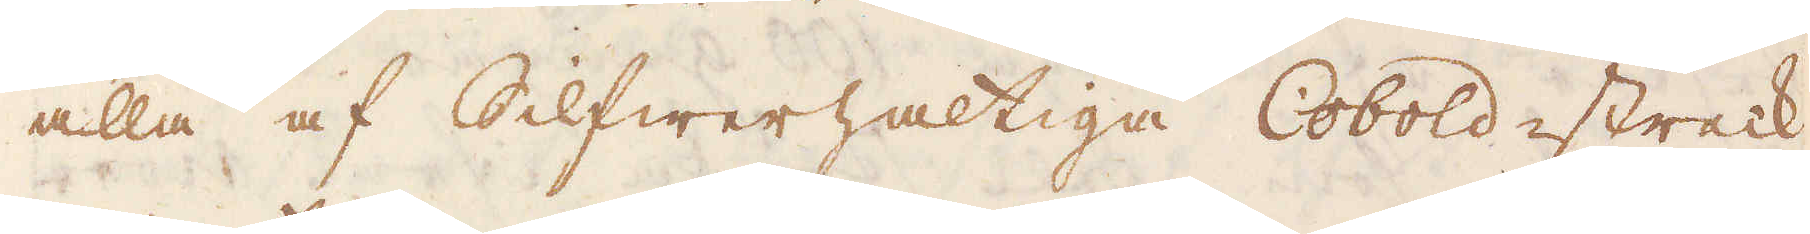alla af Silfwerhaltiga Cobold-streck
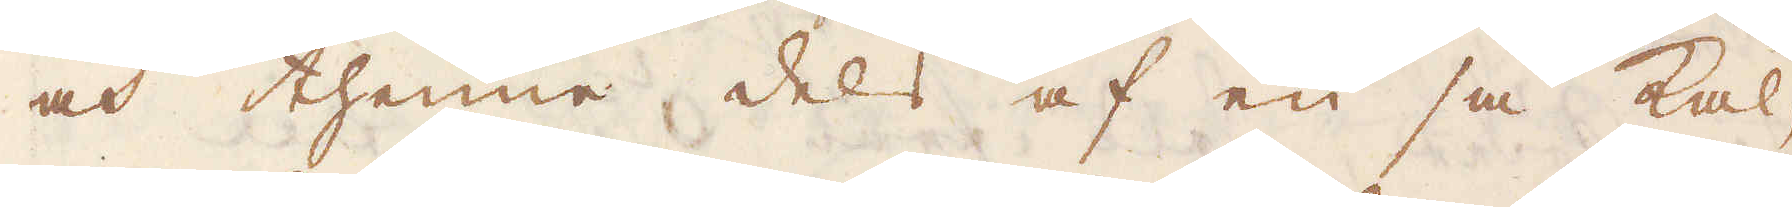och thenne dels af en så kal-
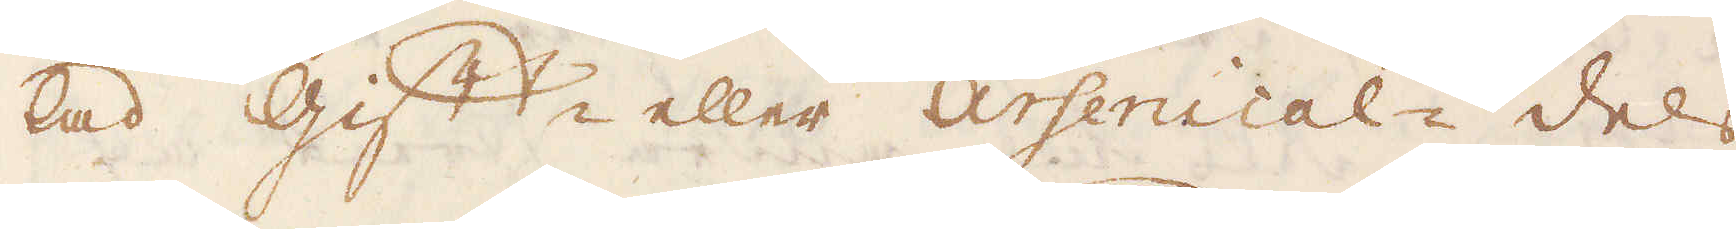lad Gift- eller Arsenical- dels
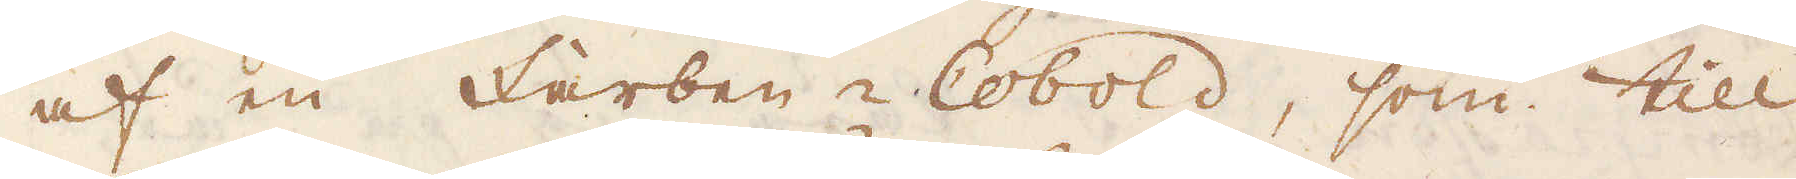af en Farben-Cobold, som till
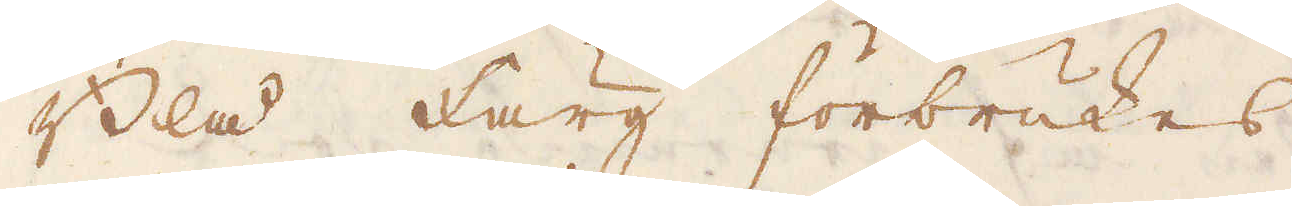Blå färg förbrukes.
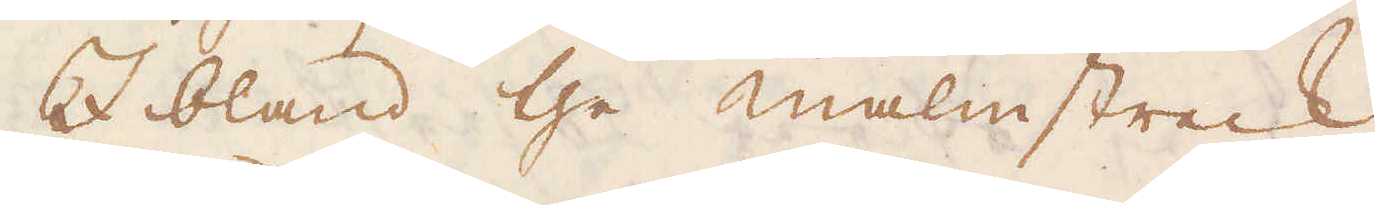I bland the malmstreck
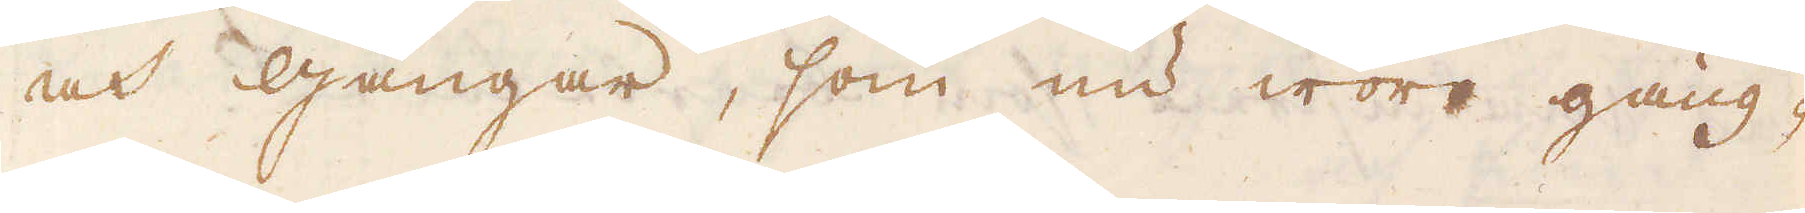och gångar, som nu woro gäng-
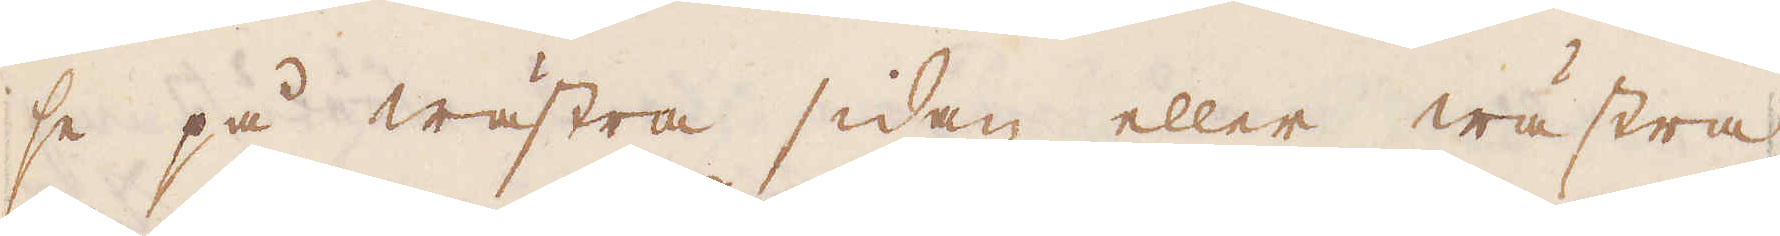se på wästra sidan eller wästra
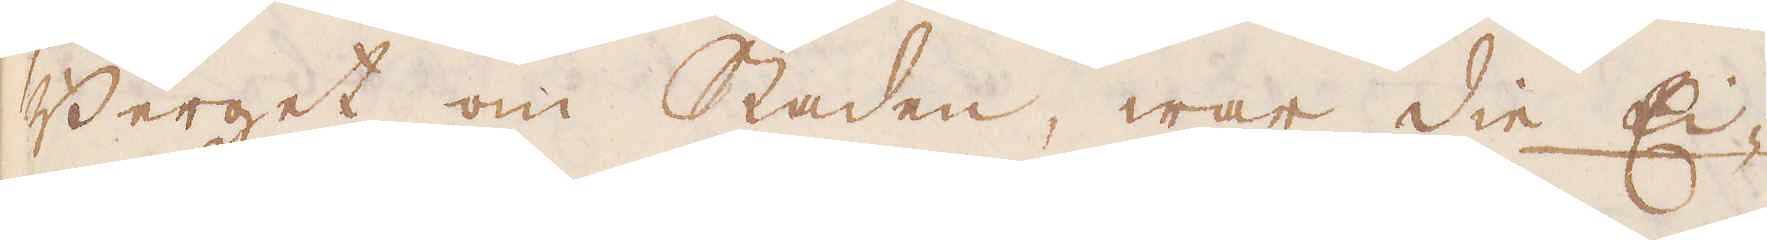Berget om Staden, war Die Ei-
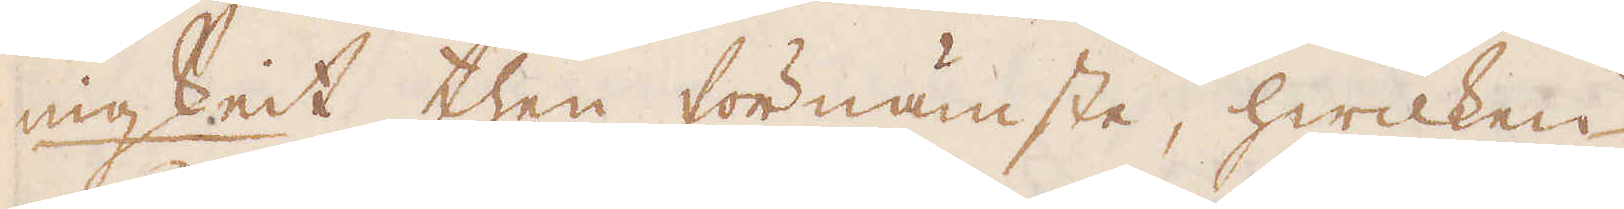nigkeit then förnämste, hwilken
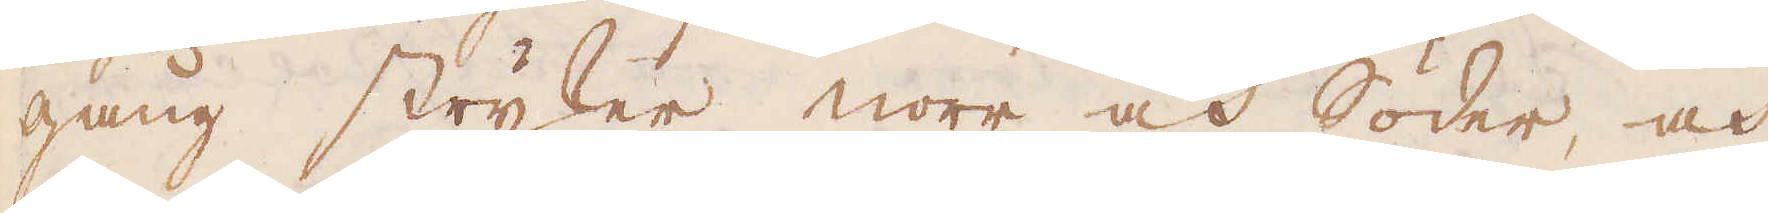gång stryker norr och Söder, och
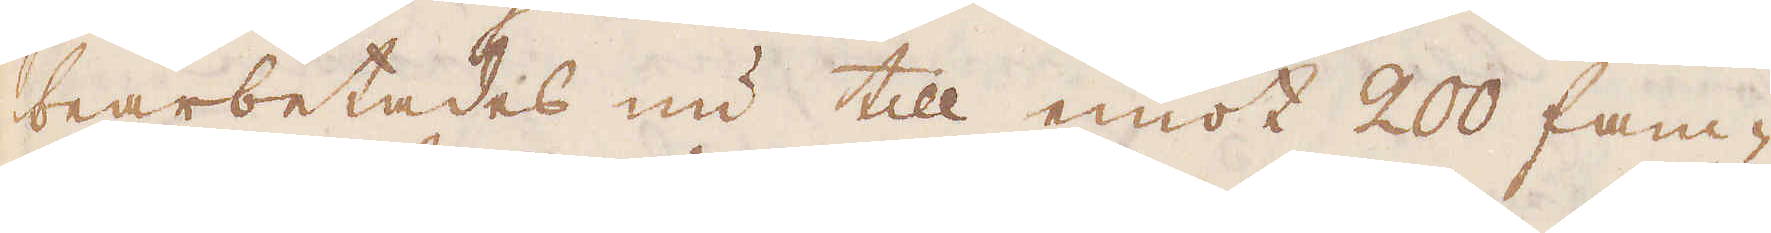bearbetades nu till emot 200 fam-
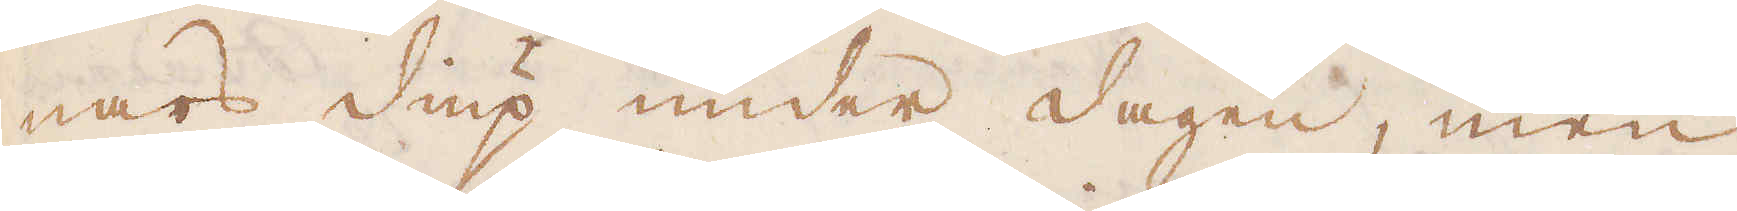nars diup under dagen, men
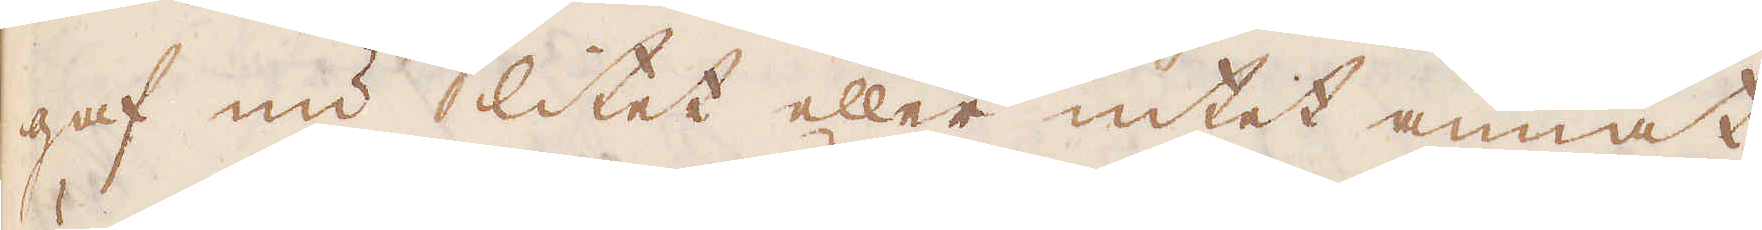gaf nu litet eller intet annat
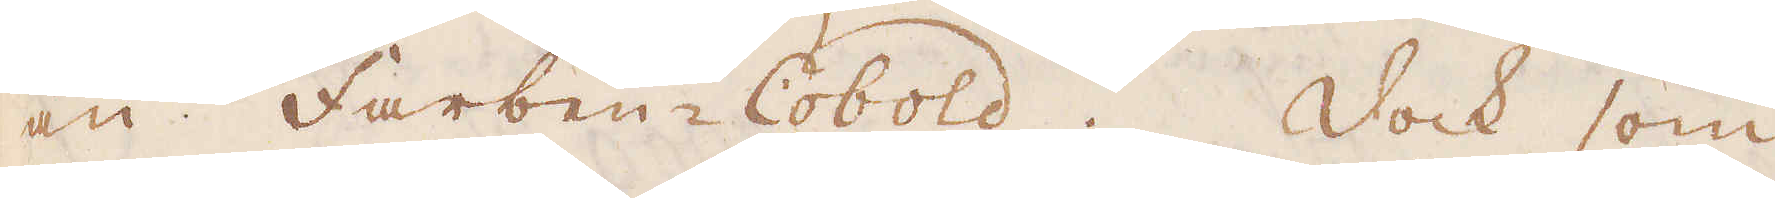än Farben-Cobold. Dock som
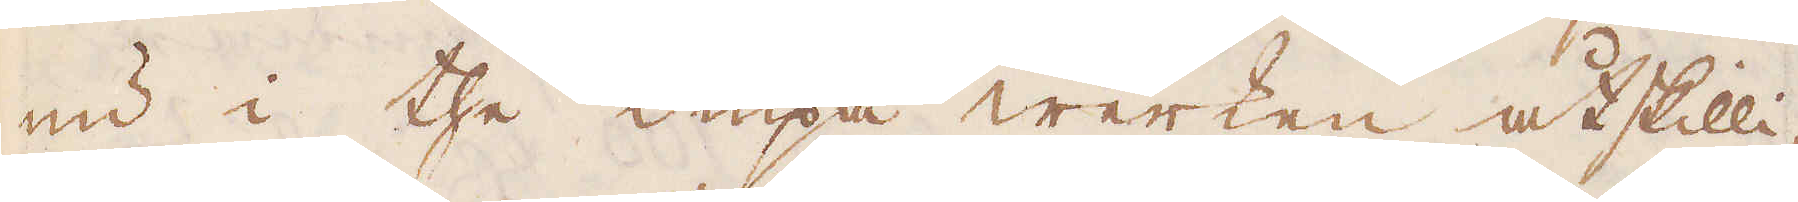nu i the diupa werken åtskilli-
